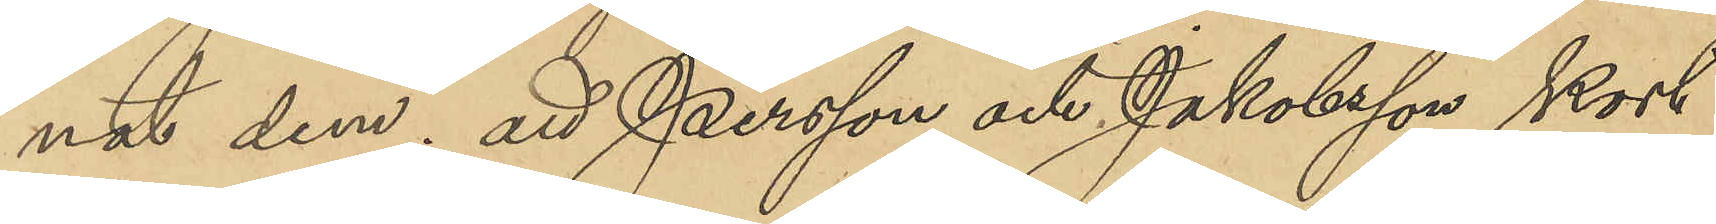nat dem; att Persson och Jakobsson kort
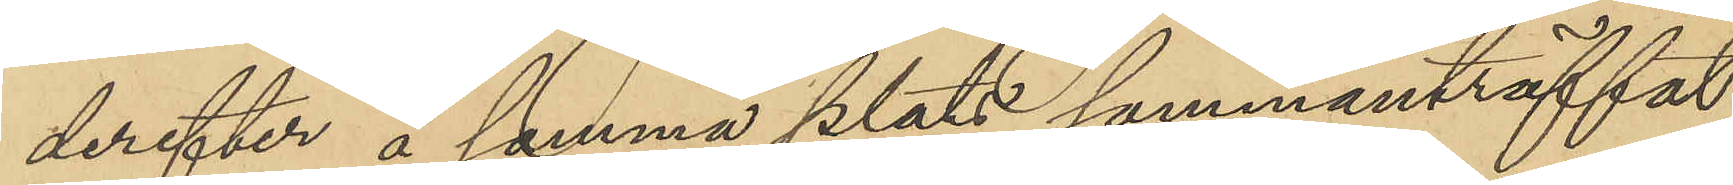derefter å samma plats sammanträffat
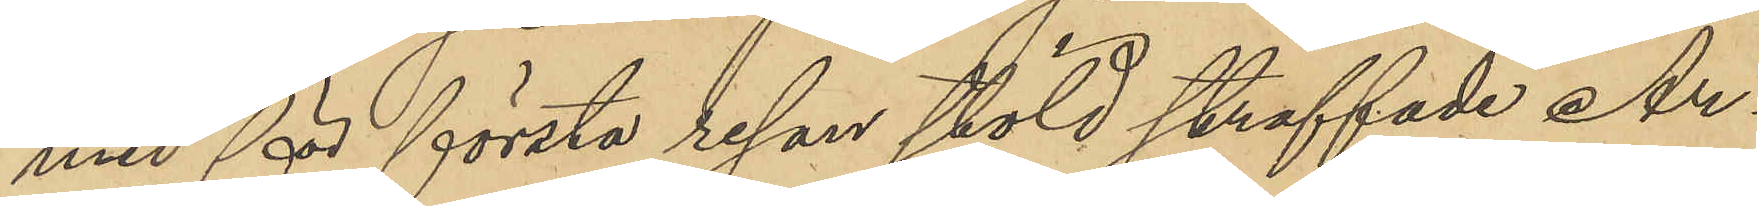med för första resan stöld straffade Ar¬
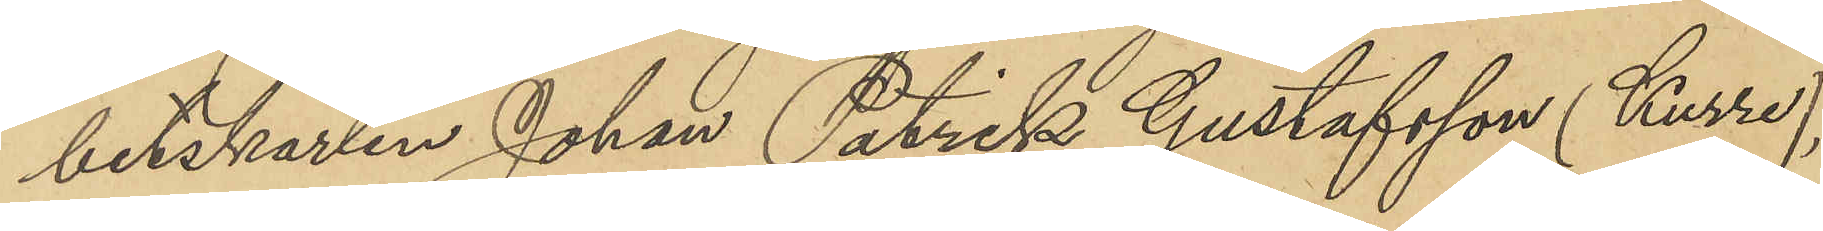betskarlen Johan Patrik Gustafsson (Kurre),
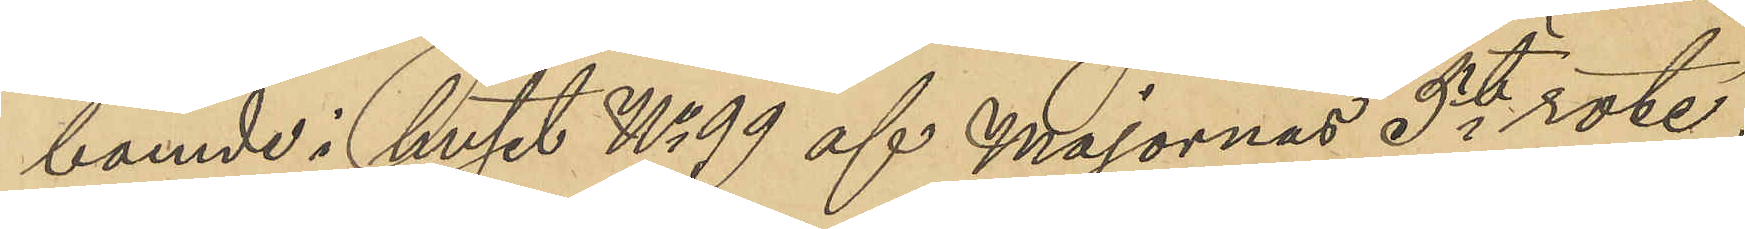boende i huset No 99 af Majornas 5te rote;
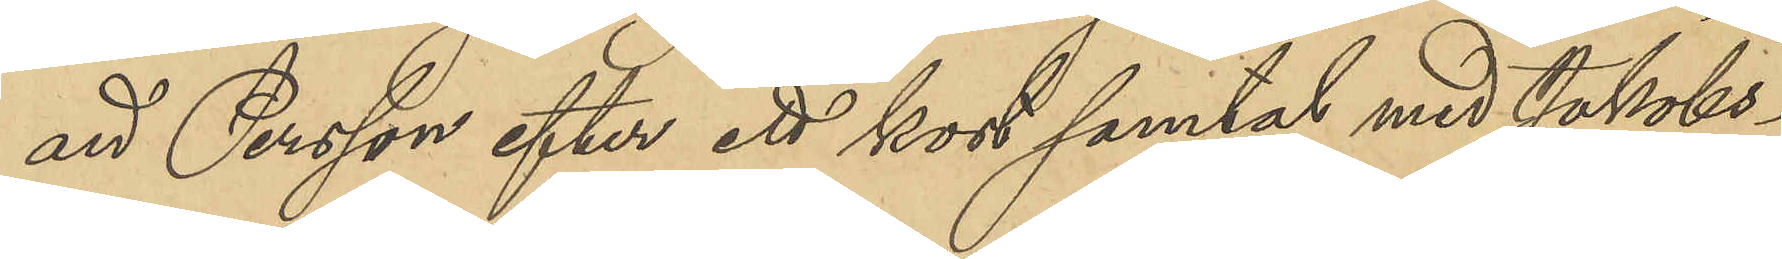att Persson efter ett kort samtal med Jakobs¬
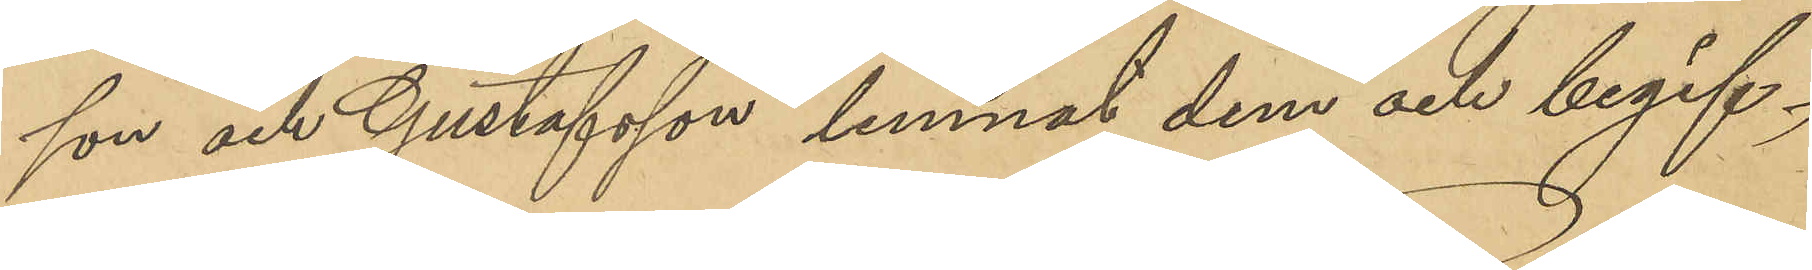son och Gustafsson lemnat dem och begif¬
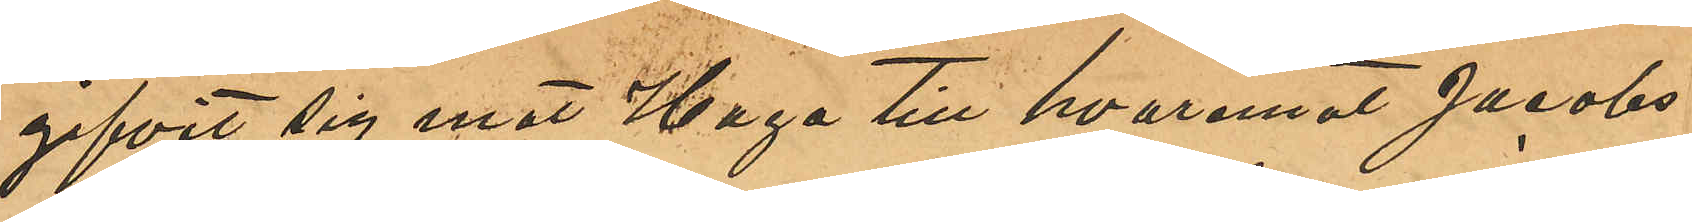gifvit sig emot Haga till hvarmed Jacobs¬
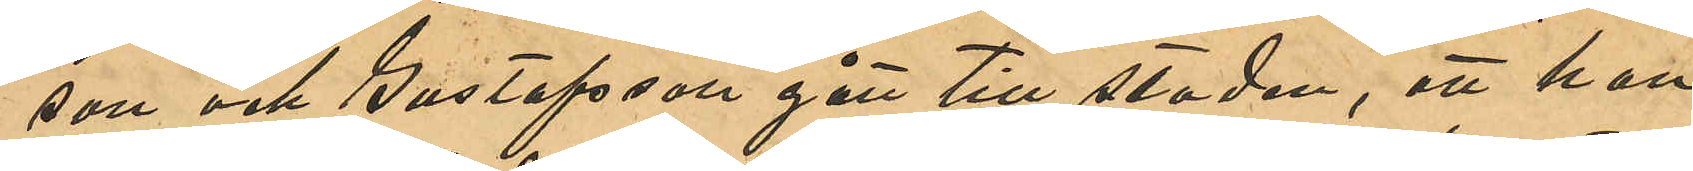son och Gustafsson gått till staden, att han
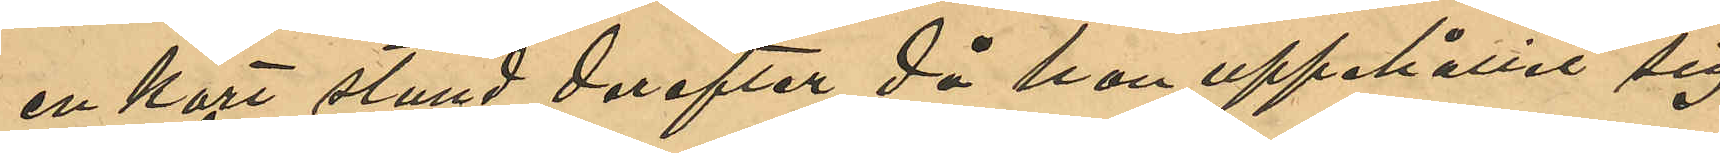en kort stund derefter då han uppehållit sig
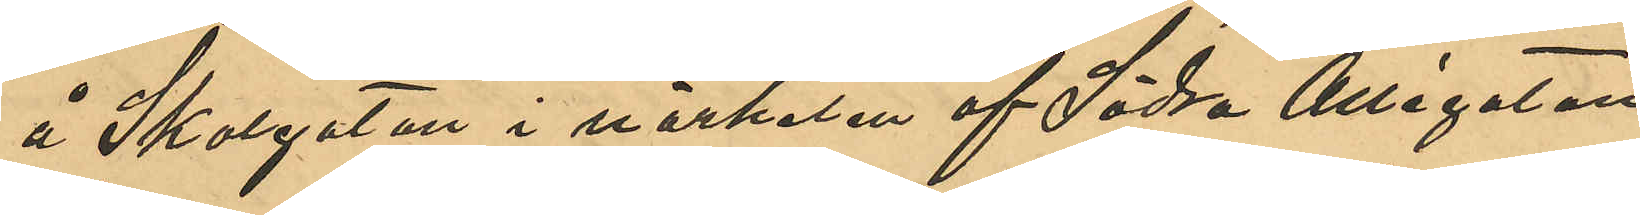å Skolgatan i närheten af Södra Allégatan
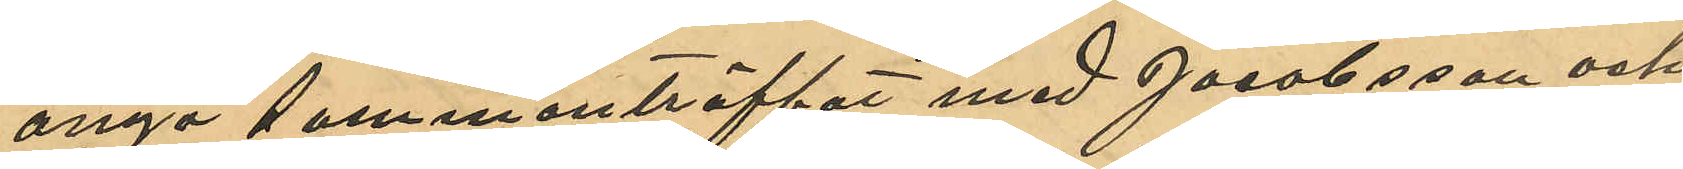ånyo sammanträffat med Jacobsson och
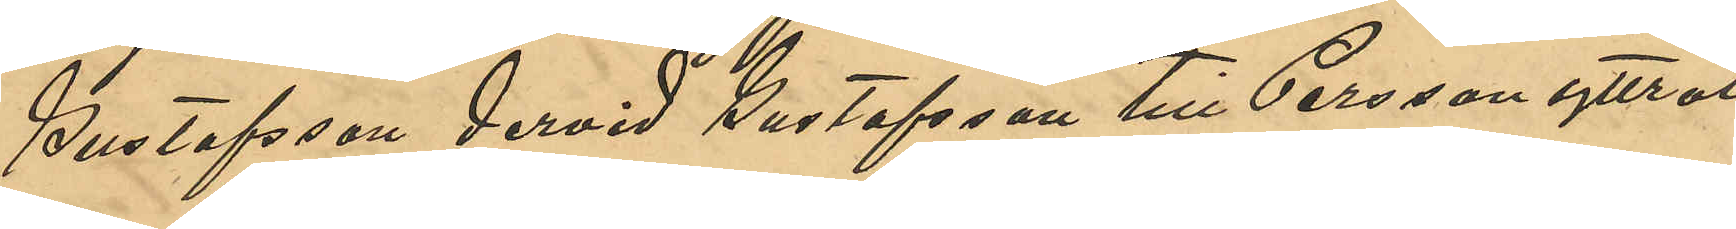Gustafsson dervid Gustafsson till Persson yttrat
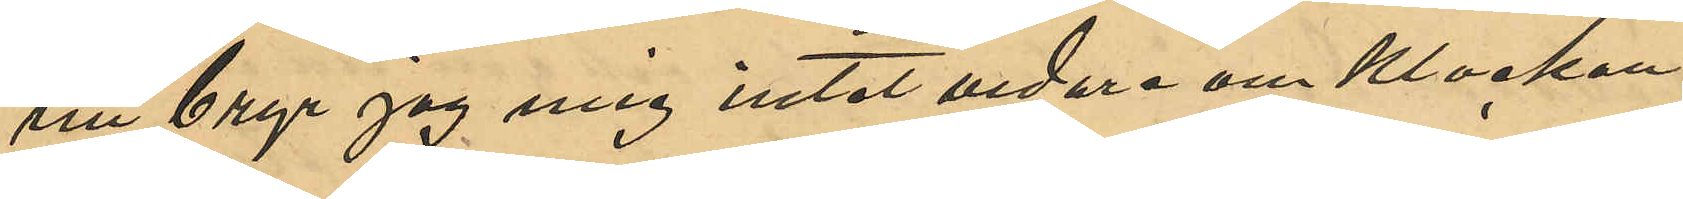"nu bryr jag mig intet vidare om Klockan,
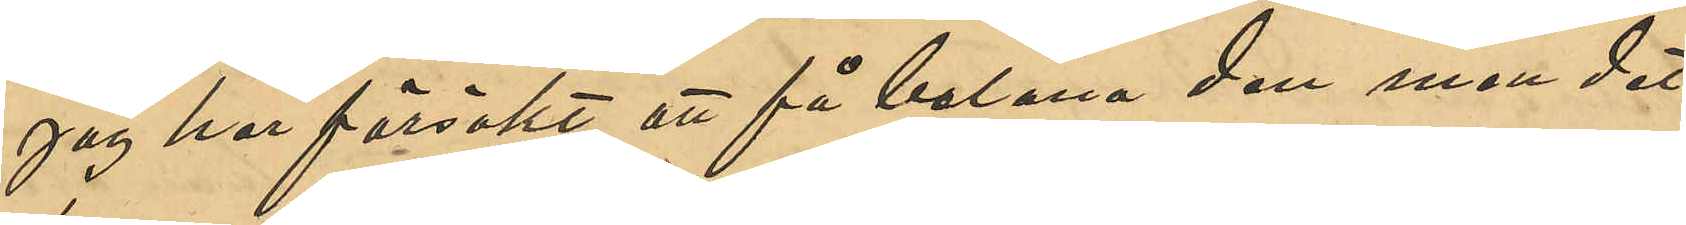jag har försökt att få belåna den men det
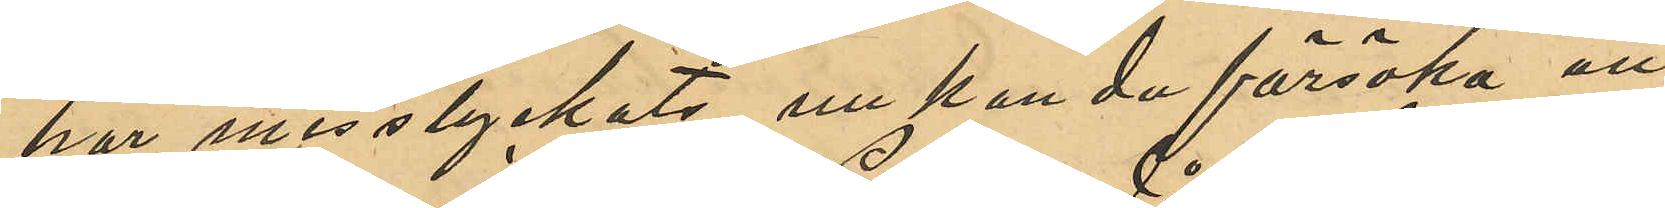har misslyckats, nu kan du försöka att
